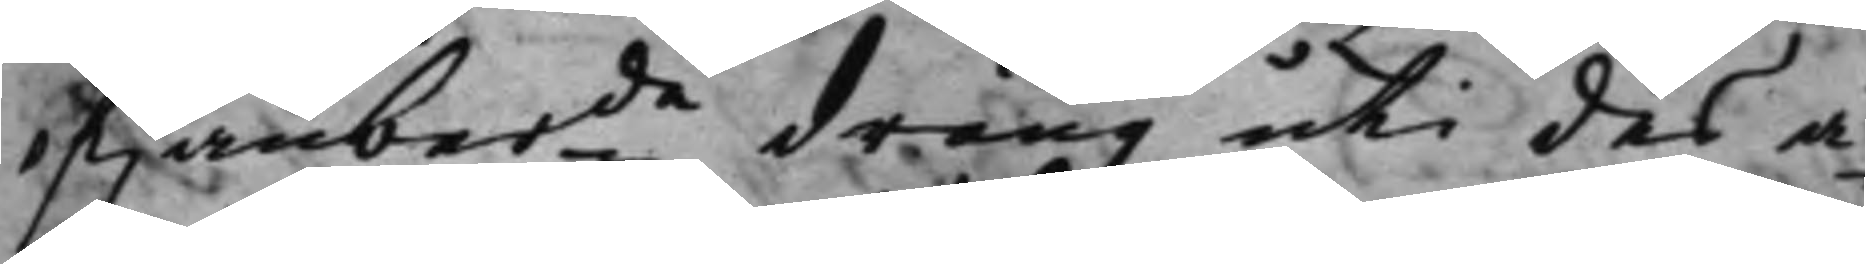ofwanberde dräng uti des ä¬
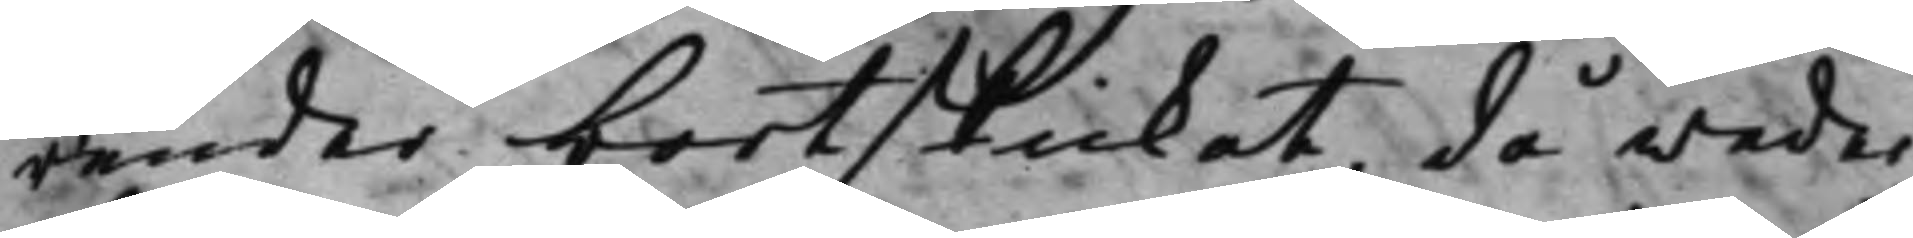render bortskickat, då weder¬
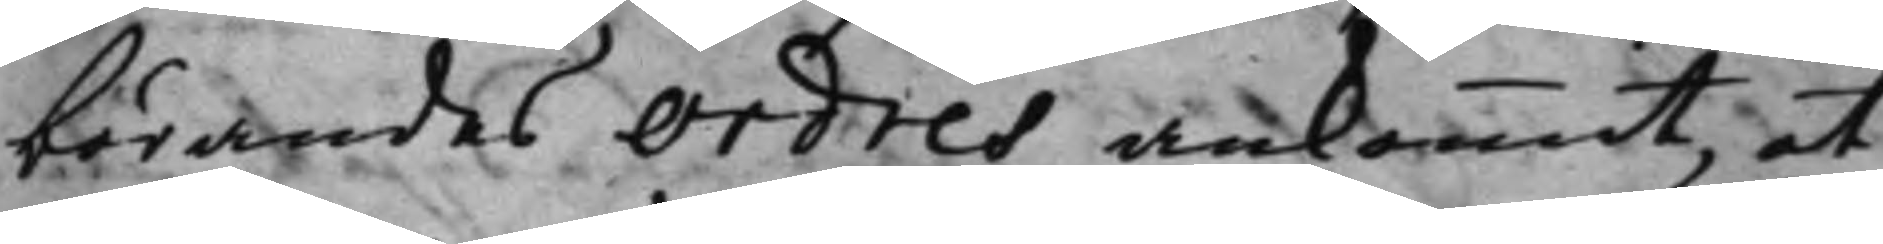börandes Ordres ankommit, at
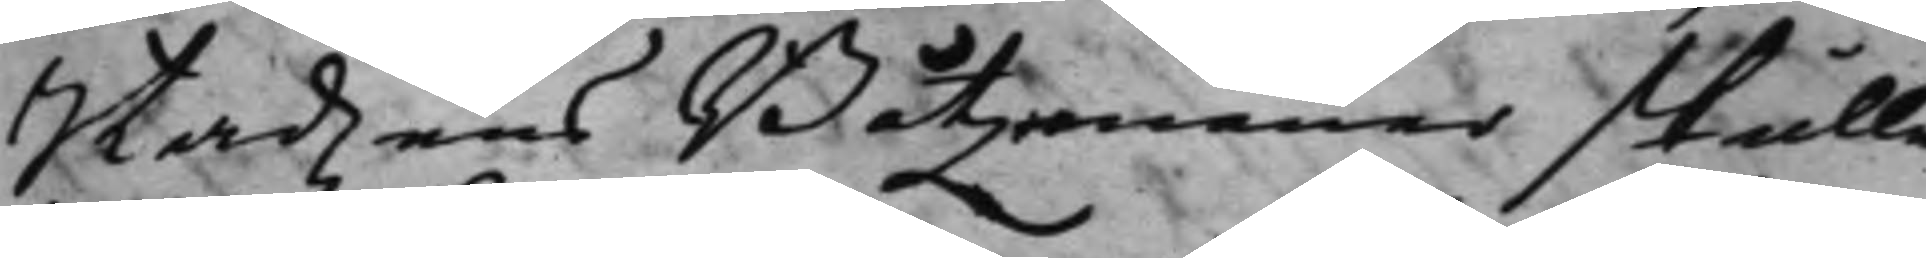Stadzens Båtzemänner skulle
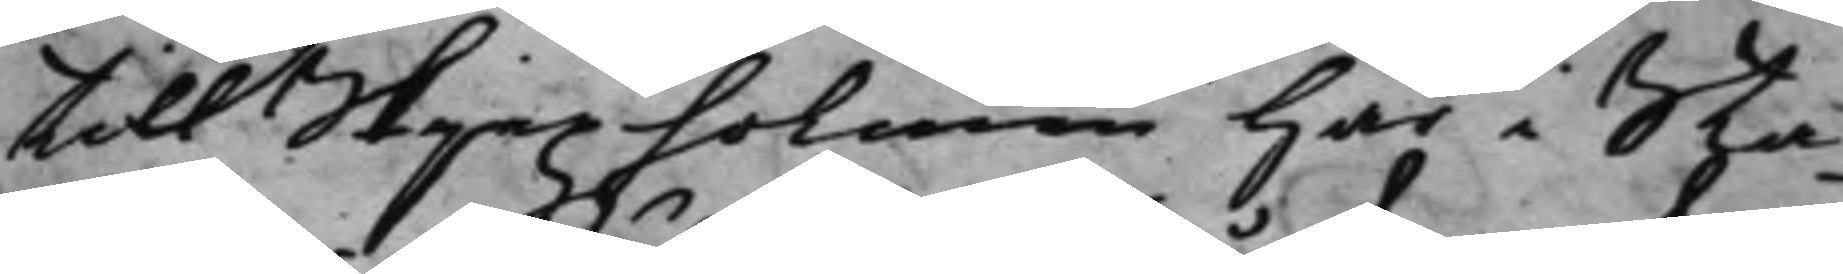till Skjepzholmen här i Sta¬
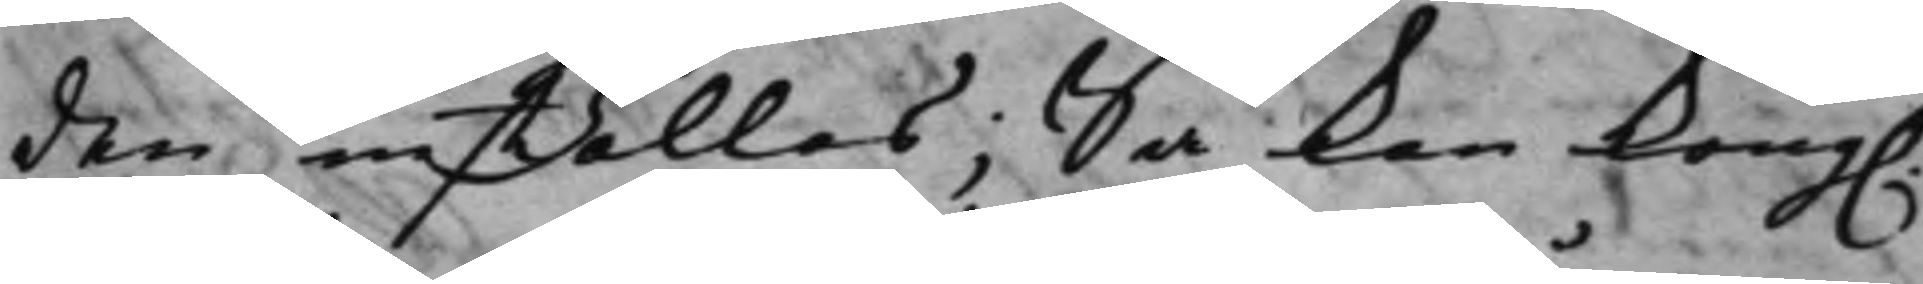den inställas, Så kan Kong.
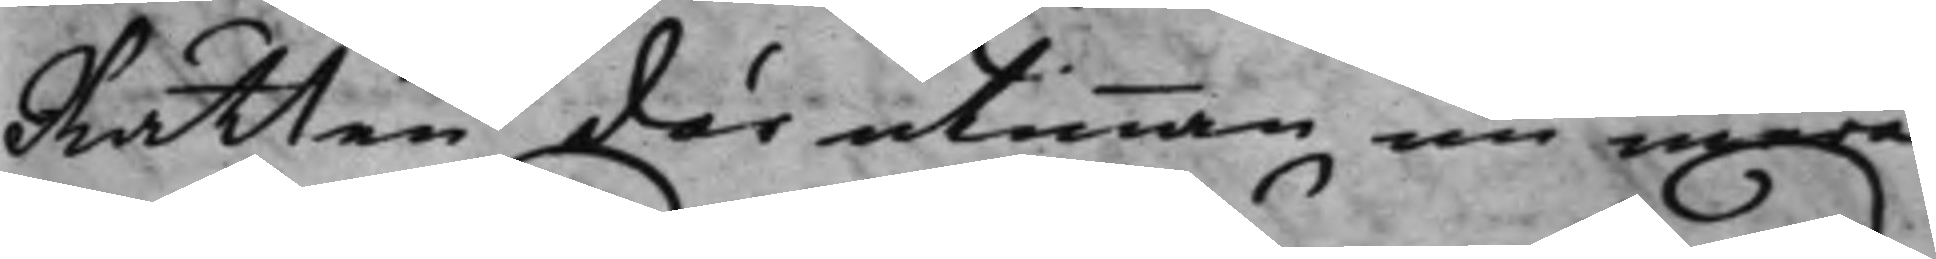Rätten därutinnan nu mera
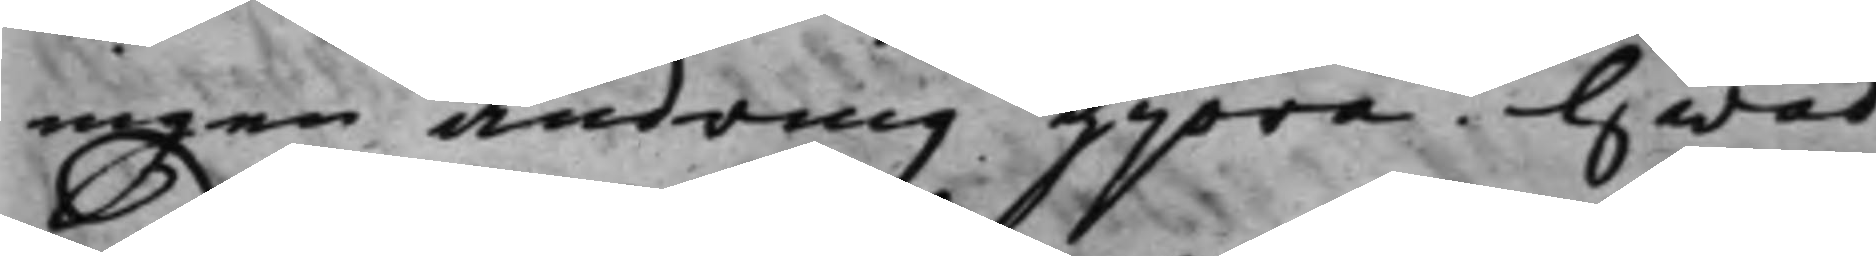ingen ändring gjöra. Hwad
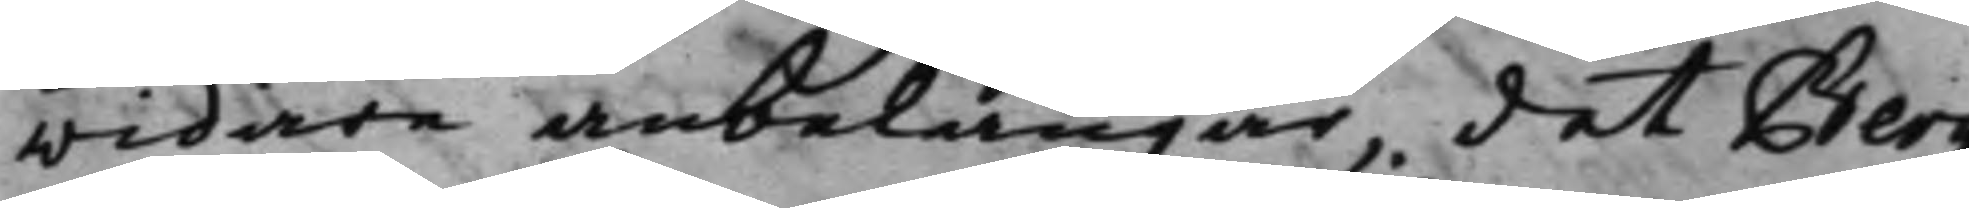widare anbelangar, det Berg
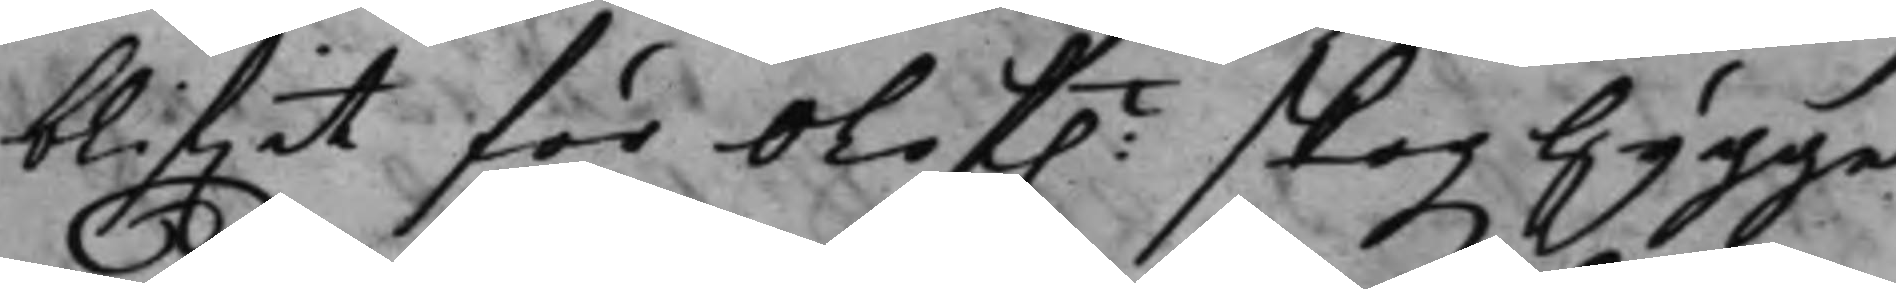blifwit för Olof:t skogzhygge
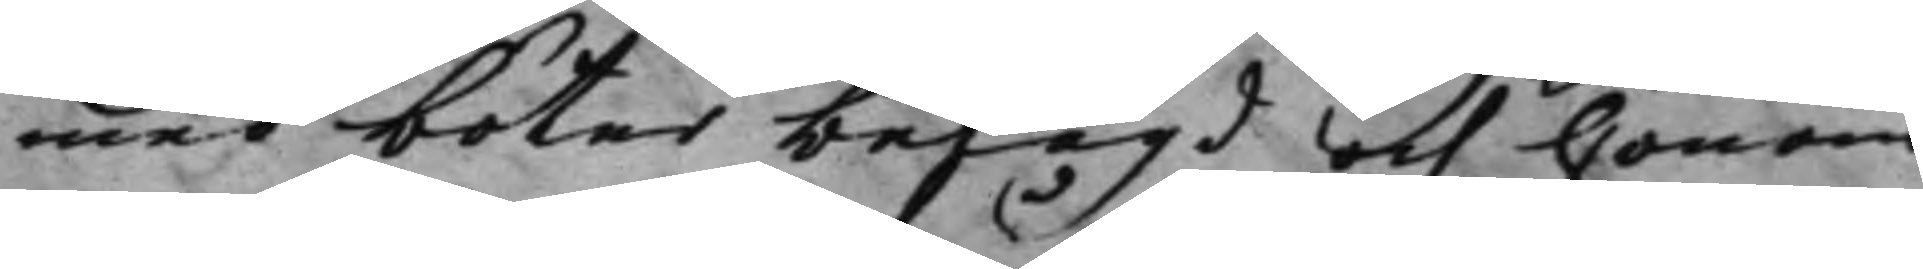med böter belagd och honom
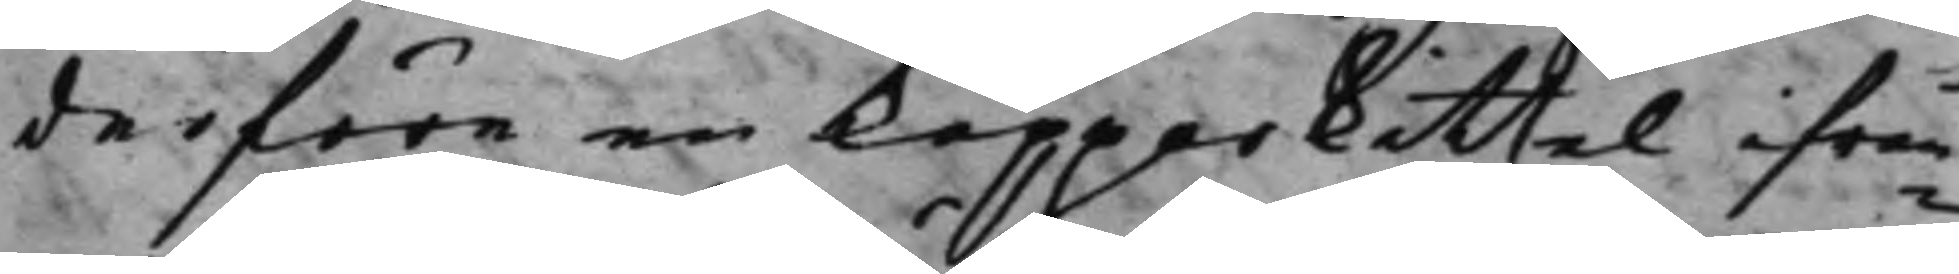derföre en kopparkittel ifrån¬
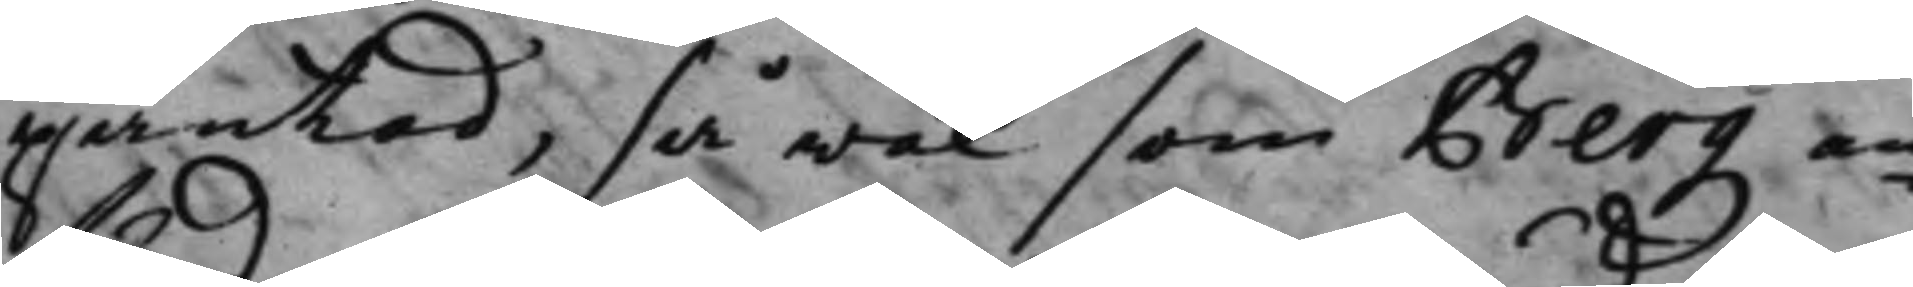pantad, så wäl som Berg an¬
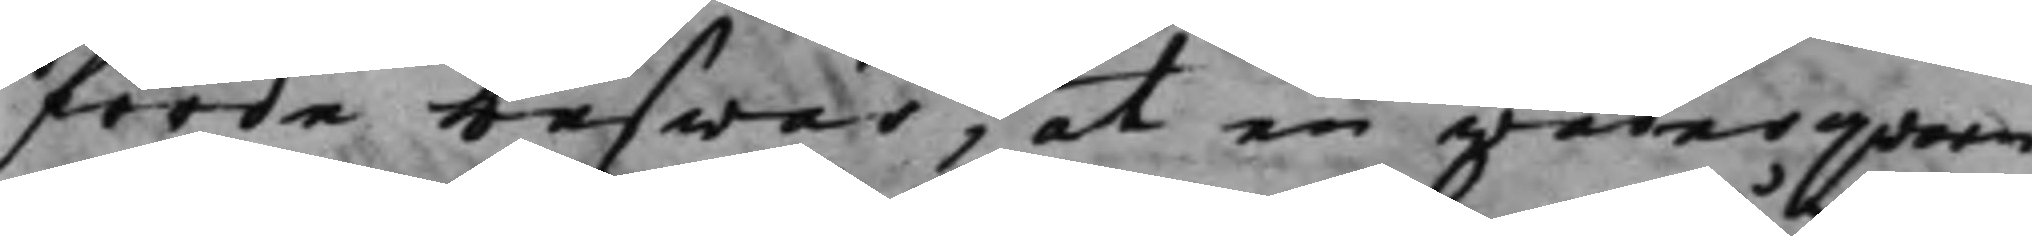förde beswär, at en wäderqvarn
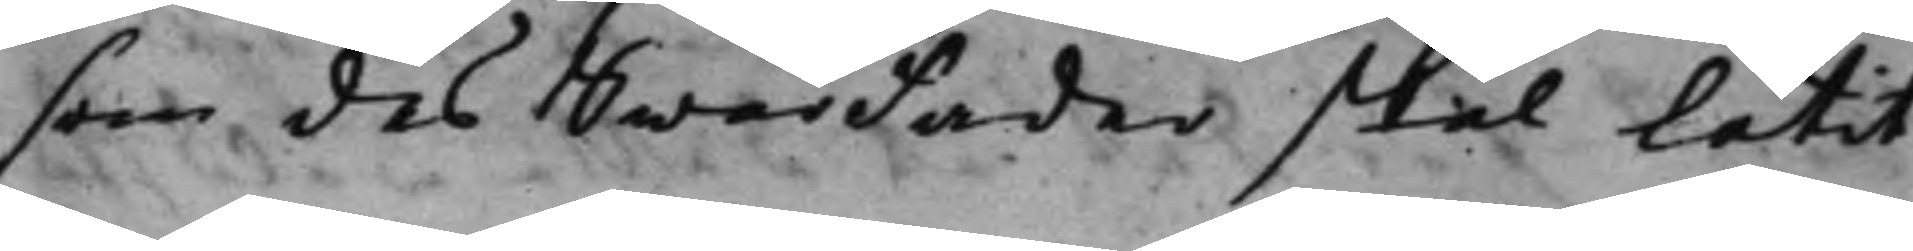som des Swärfader skal låtit
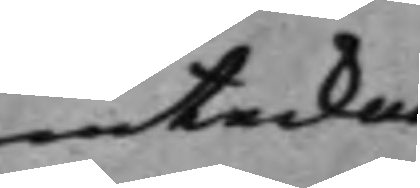inteckna
